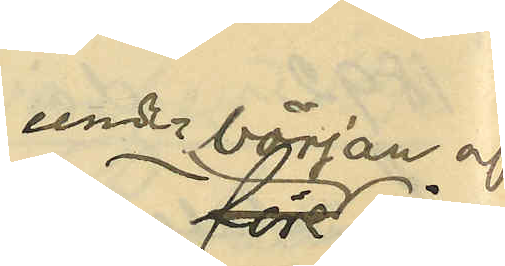under början af
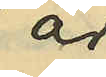år
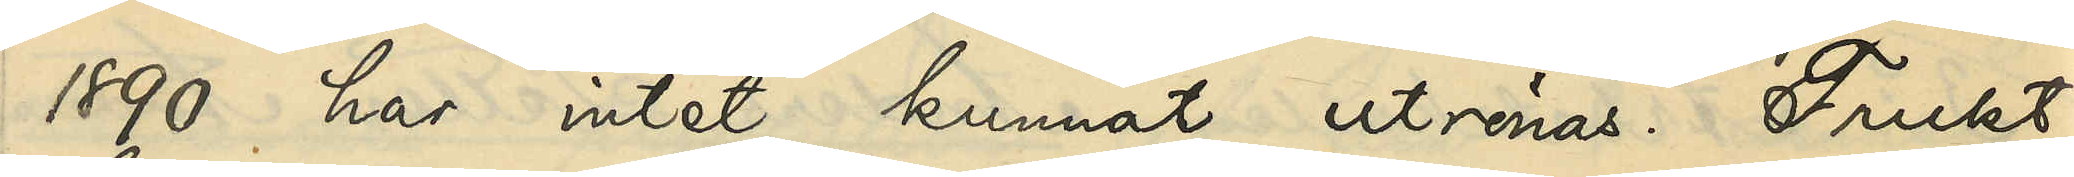1890 har intet kunnat utrönas. Frukt¬
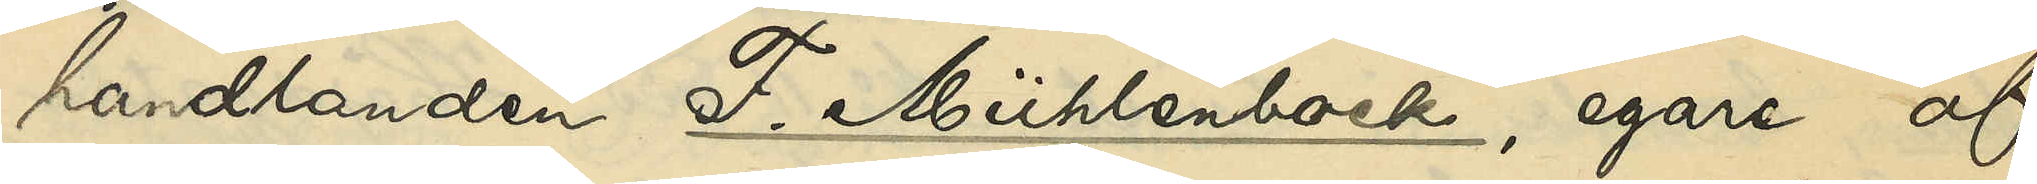handlanden F. Mühlenbock, egare af
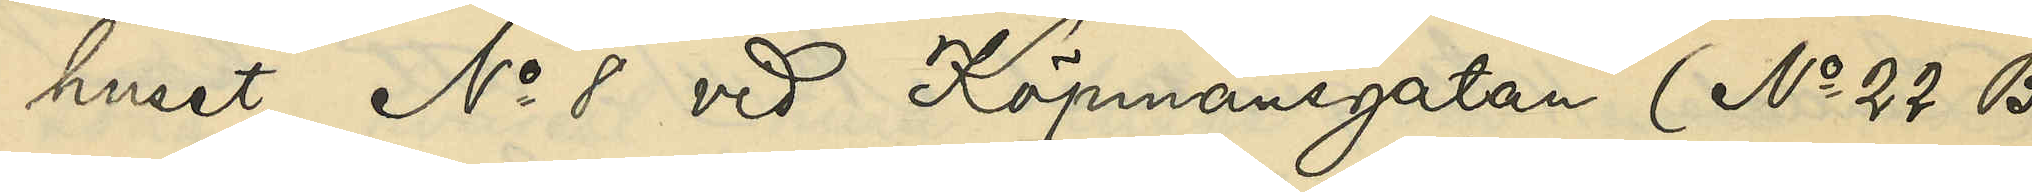huset No 8 vid Köpmansgatan (No 22 B
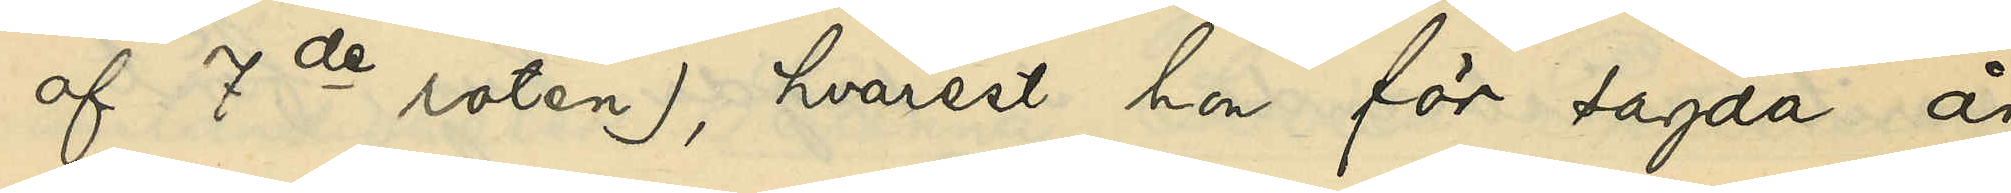af 7de roten), hvarest hon för sagda år
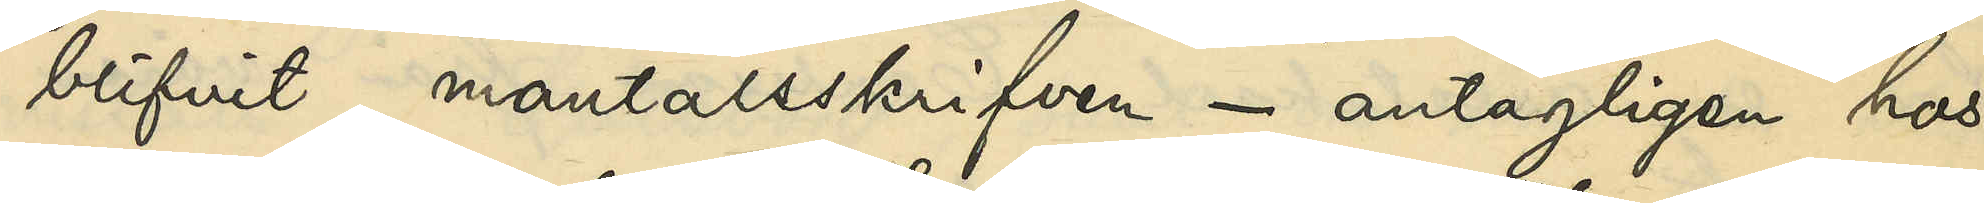blifvit mantalsskrifven - antagligen hos
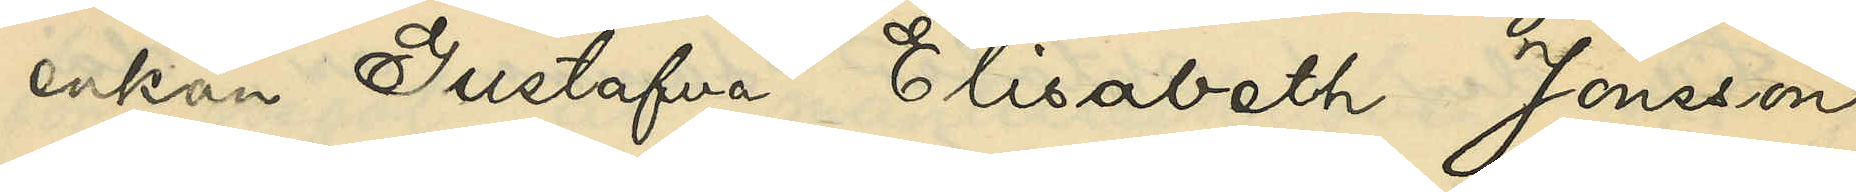enkan Gustafva Elisabeth Jonsson -
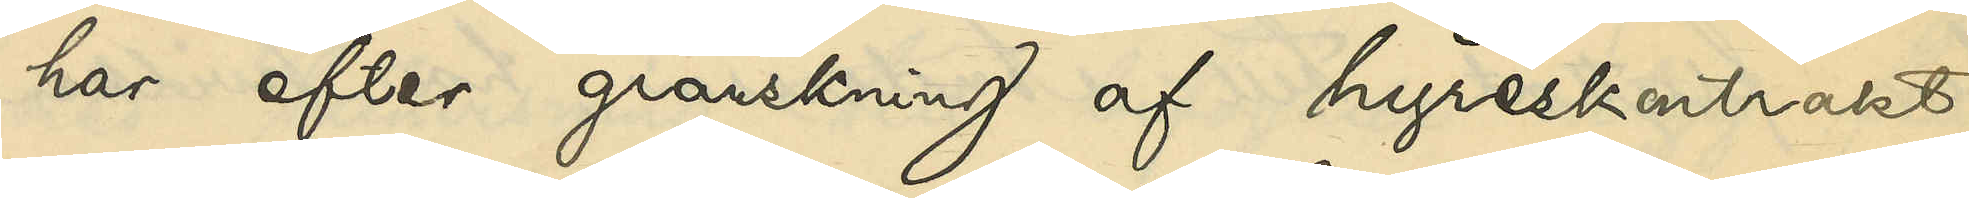har efter granskning af hyreskontrakt
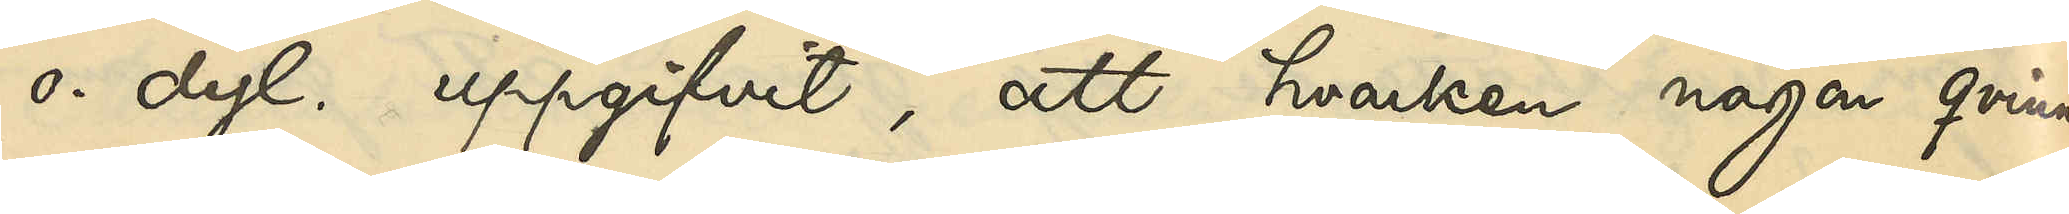o. dyl. uppgifvit, att hvarken någon qvinna
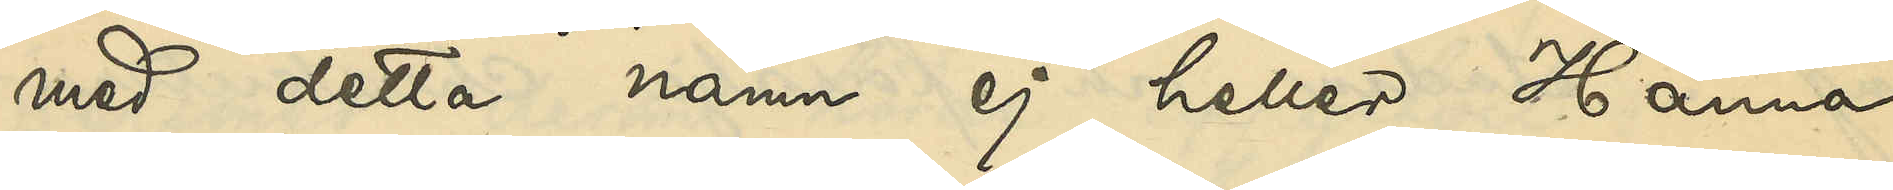med detta namn ej heller Hanna
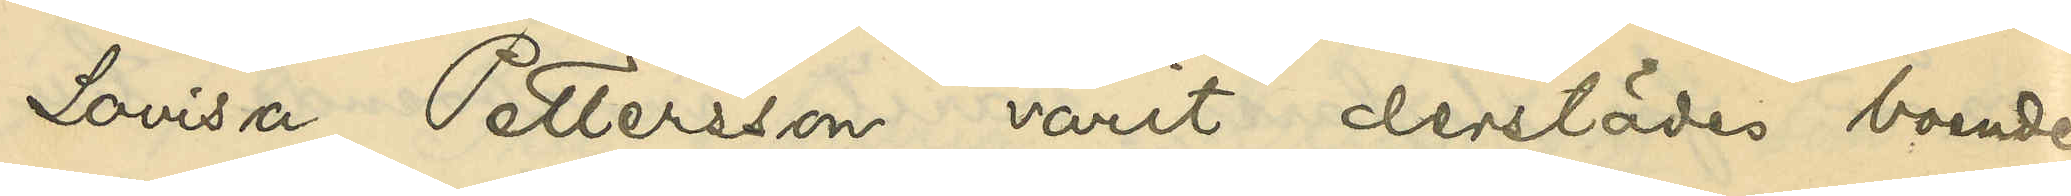Lovisa Pettersson varit derstädes boende.
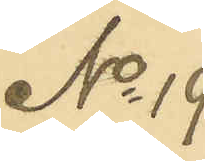No 19
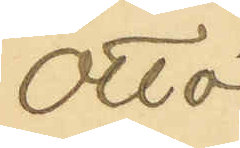Otto
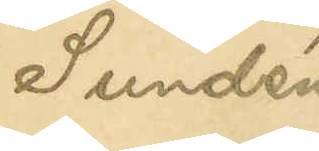Sundén
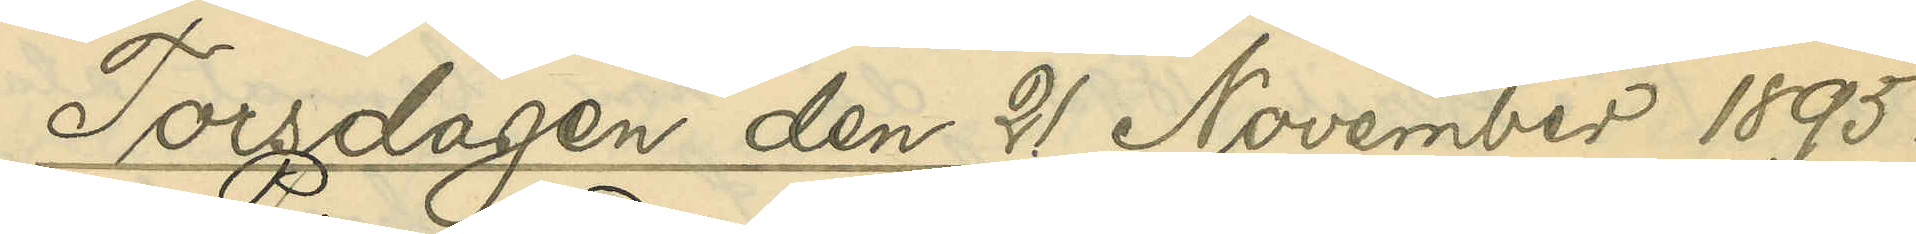Torsdagen den 21 November 1895.
